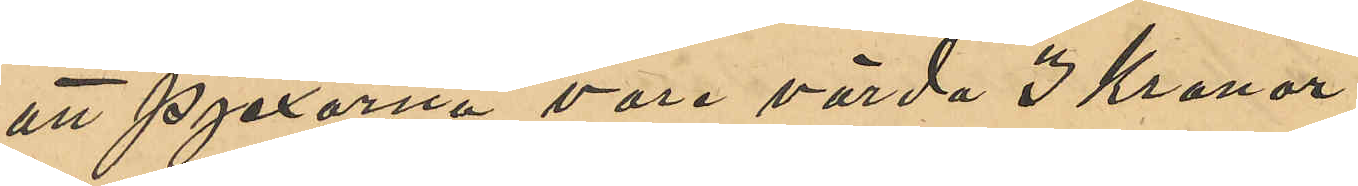att pjexorna vore värda 3 Kronor. 
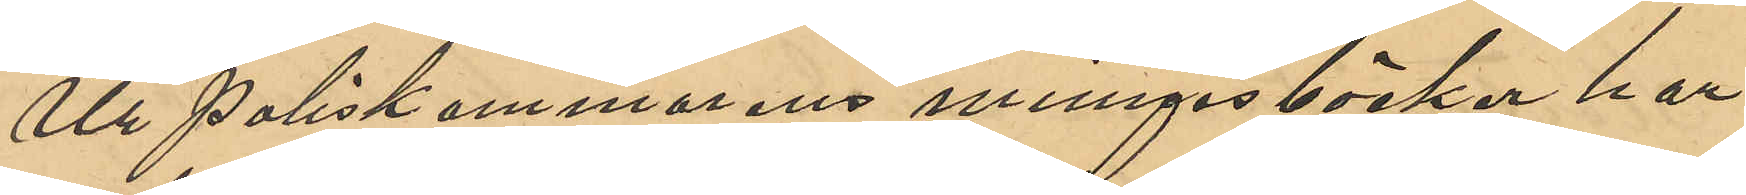Ur Poliskammarens minnesböcker har
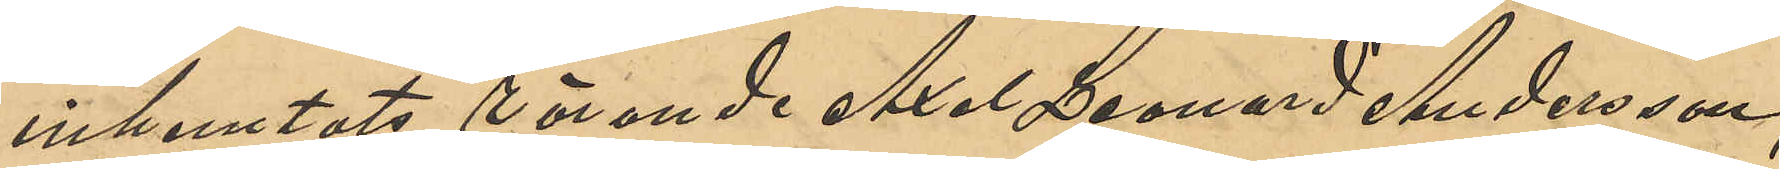inhemtats rörande Axel Leonard Andersson;
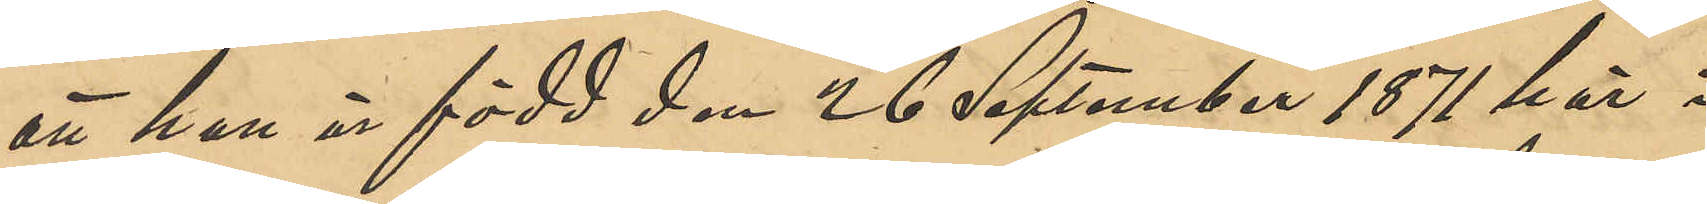att han är född den 26 September 1871 här i
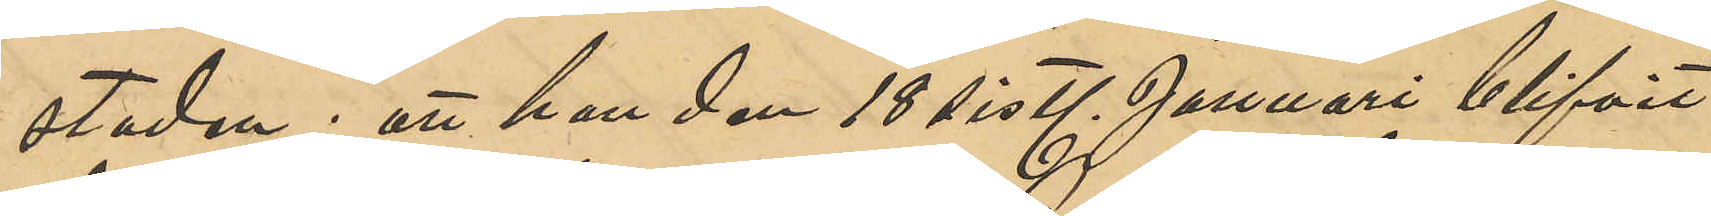staden; att han den 18 sistl. Januari blifvit
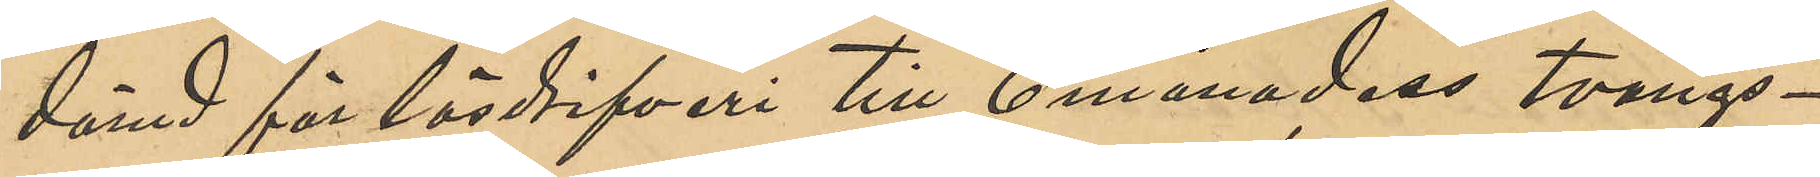dömd för lösdrifveri till 6 månaders tvångs¬
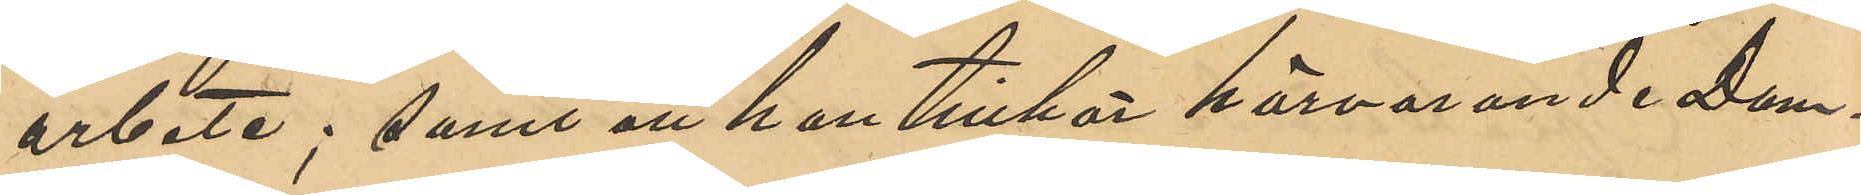arbete; samt att han tillhör härvarande Dom¬
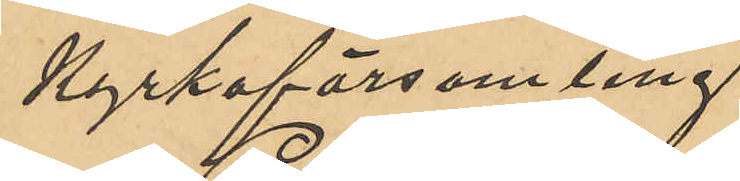kyrkoförsamling.
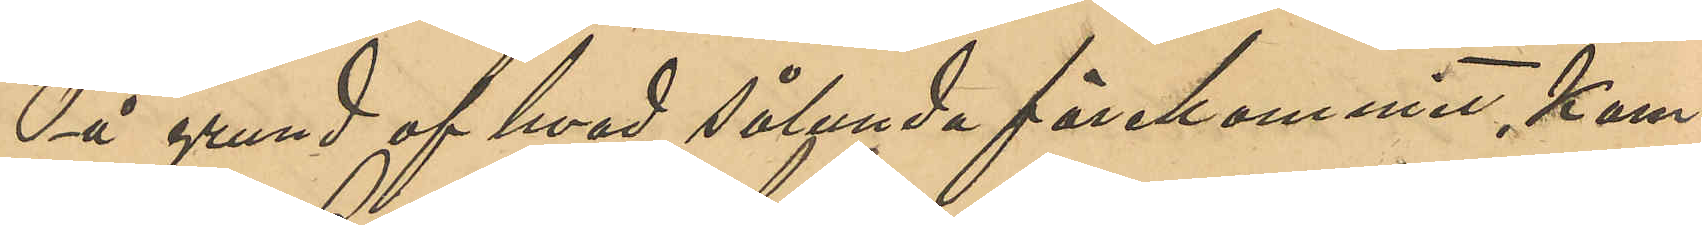På grund af hvad sålunda förekommit kom¬
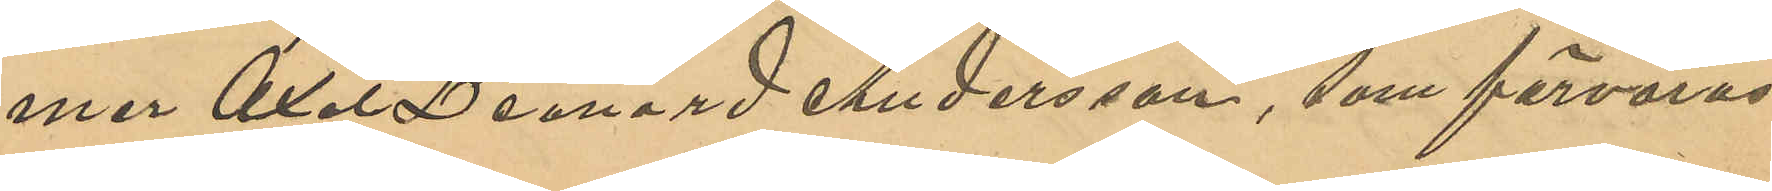mer Axel Leonard Andersson, som förvaras
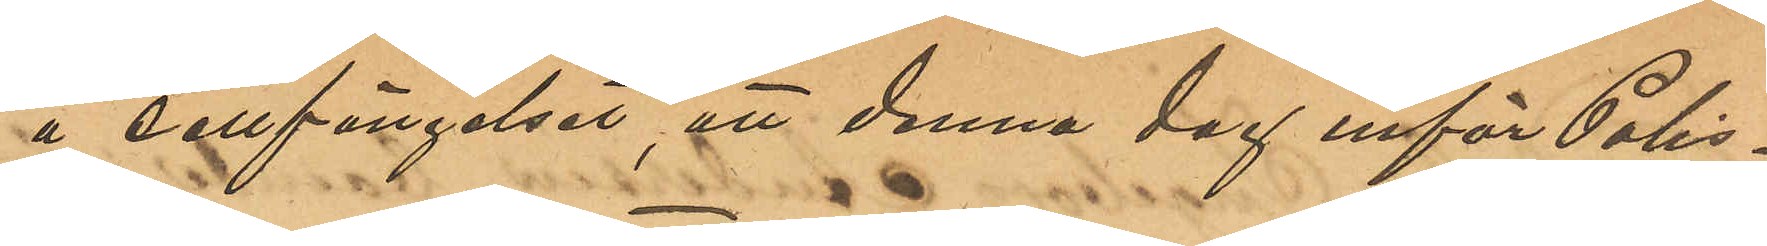å cellfängelset, att denna dag inför Polis¬
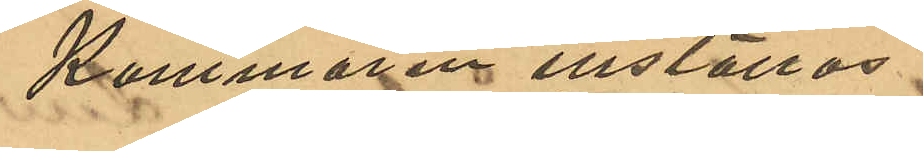Kammaren inställas.
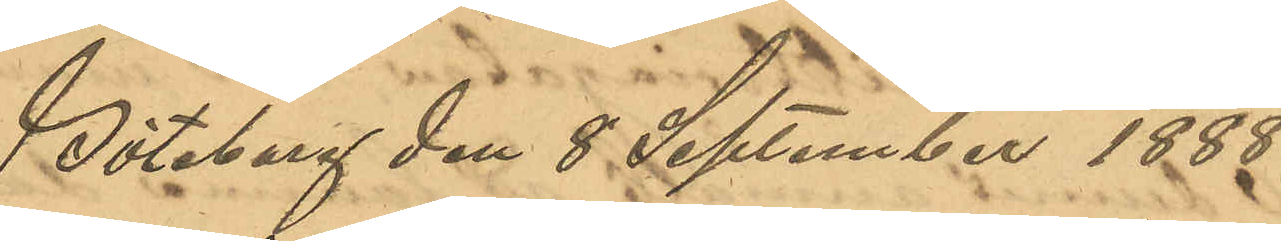Göteborg den 8 September 1888.
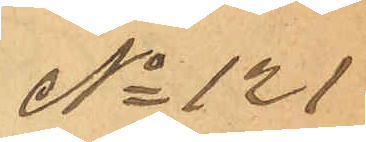No 121
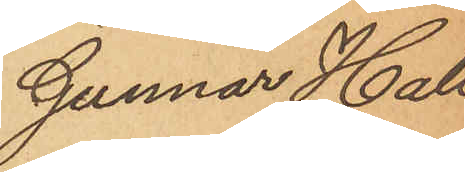Gunnar Hall¬
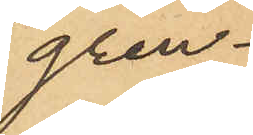gren.
